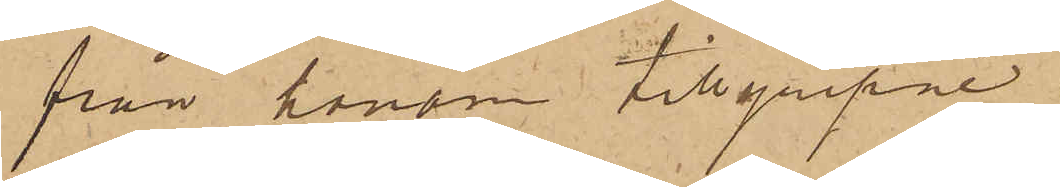från honom tillgripne.
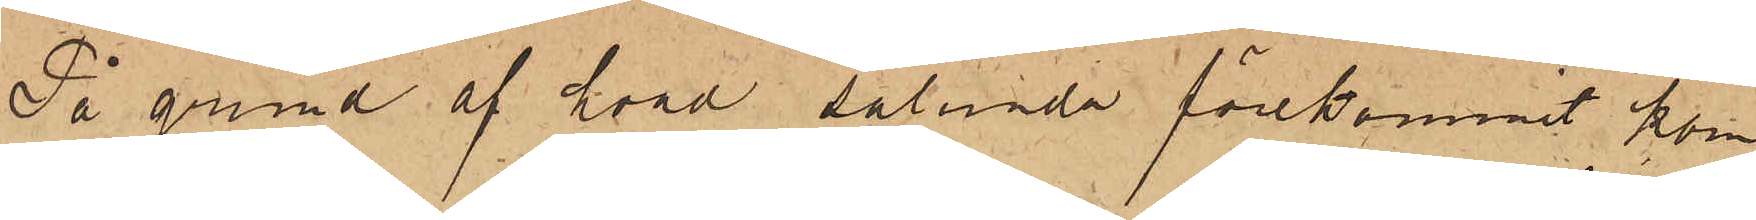På grund af hvad sålunda förekommit, kom¬
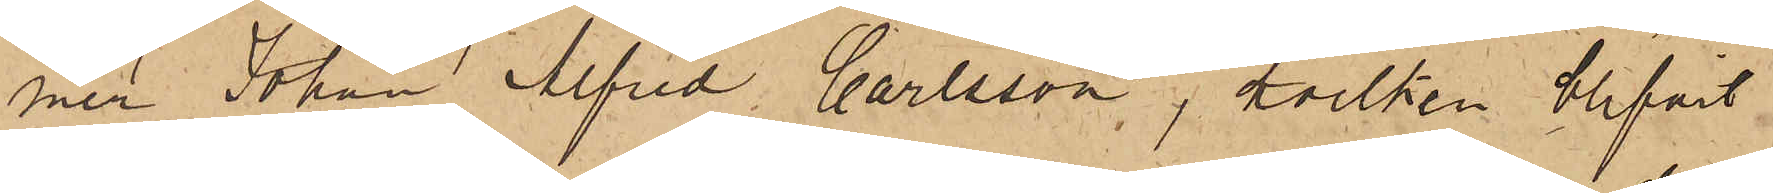mer Johan Alfred Carlsson, hvilken blifvit
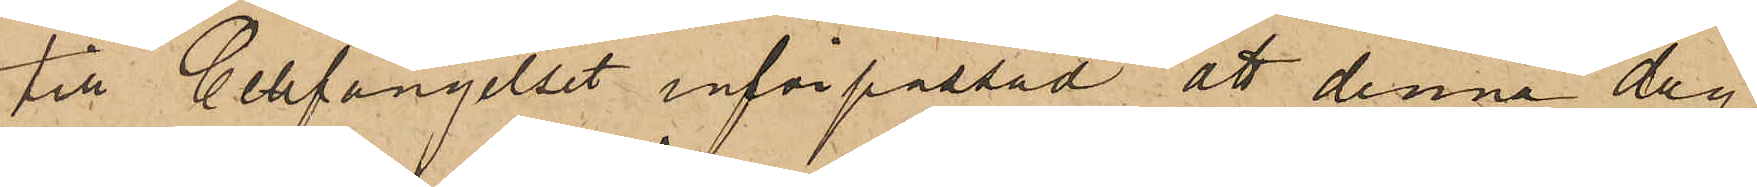till Cellfängelset införpassad, att denna dag
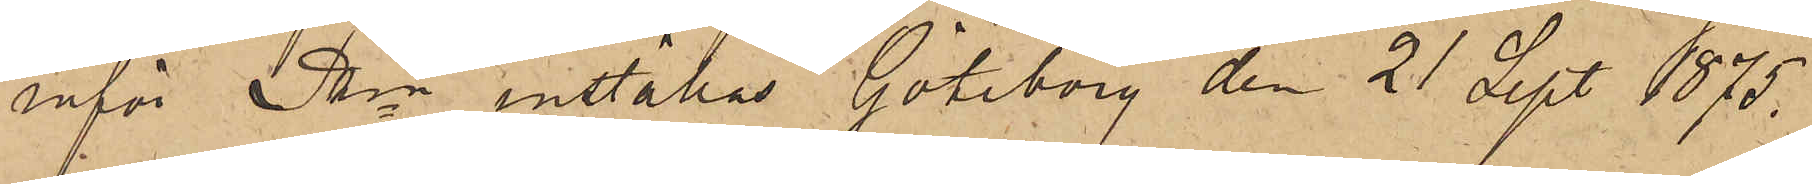inför Pkn inställas. Göteborg den 21 Sept. 1875.
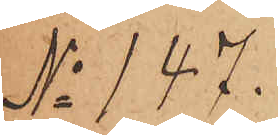No 147.
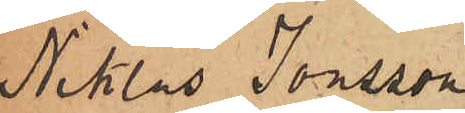Niklas Jonsson
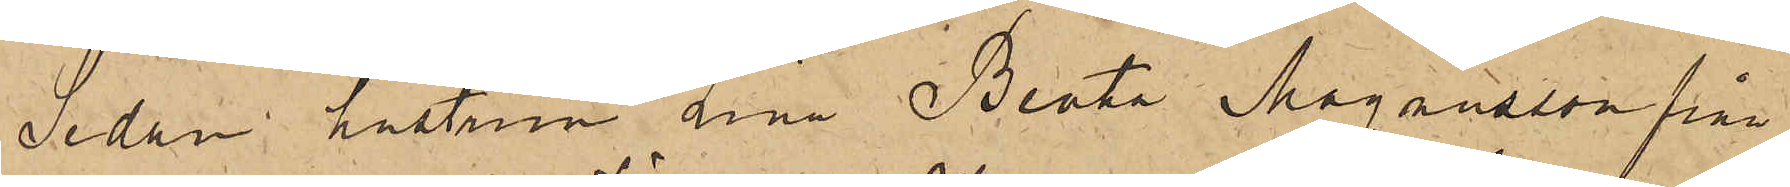Sedan hustrun Lina Beata Magnusson från
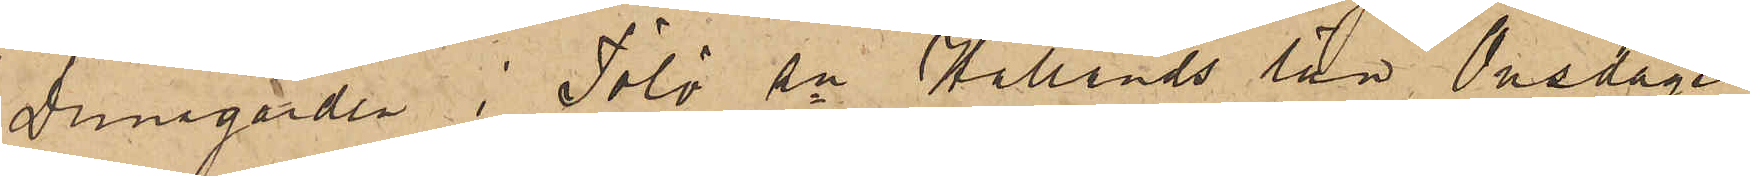Dunagården i Tölö Sn Hallands län, Onsdagen
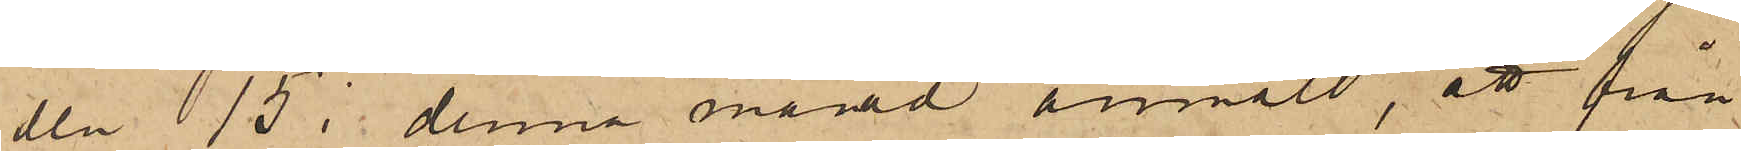den 15 i denna månad anmält att från
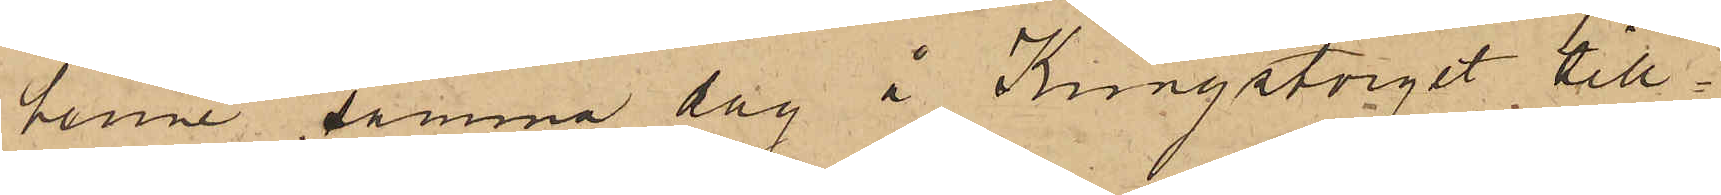henne samma dag å Kungstorget till¬
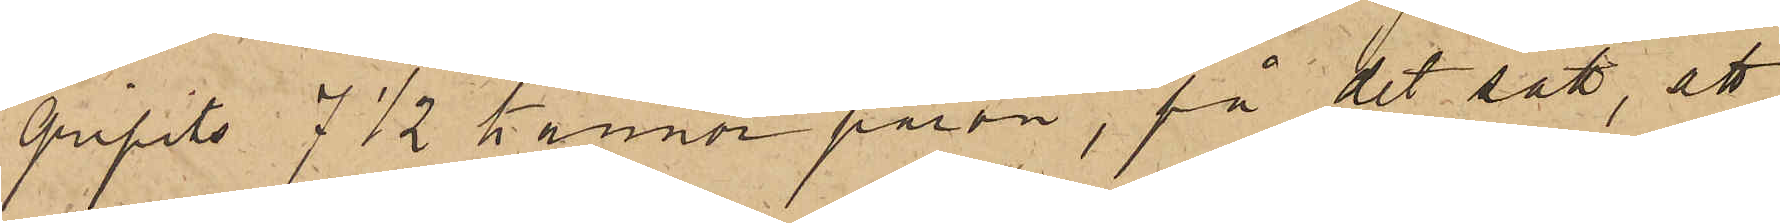gripits 7 1/2 kannor päron, på det sätt, att
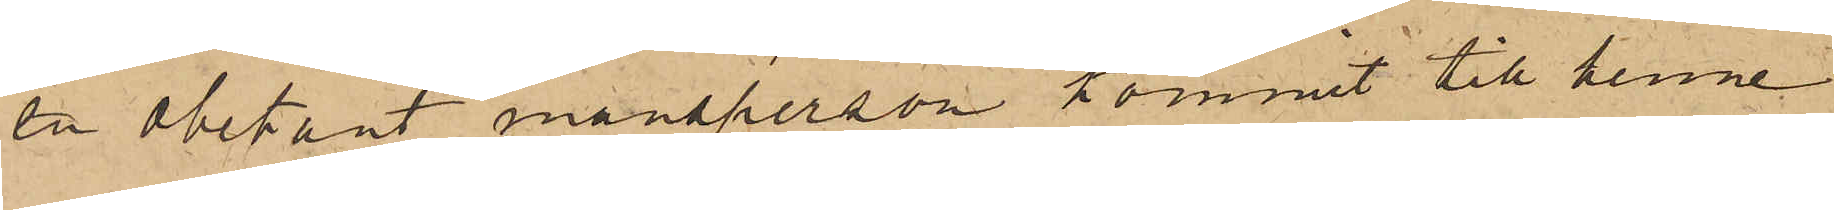en obekant mansperson kommit till henne
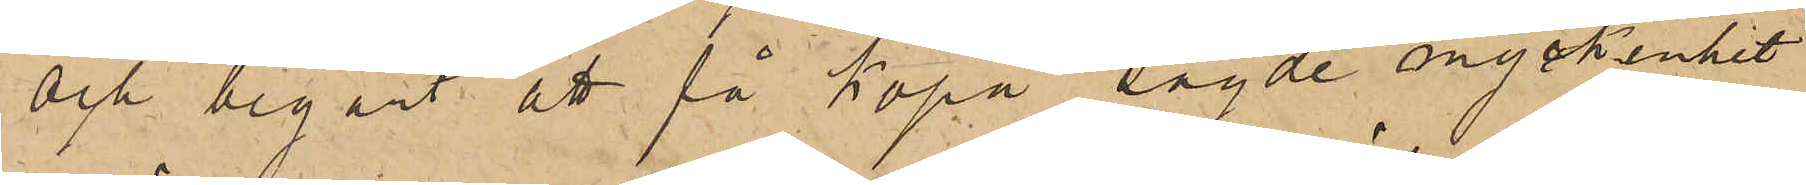och begärt att få köpa sagde myckenhet
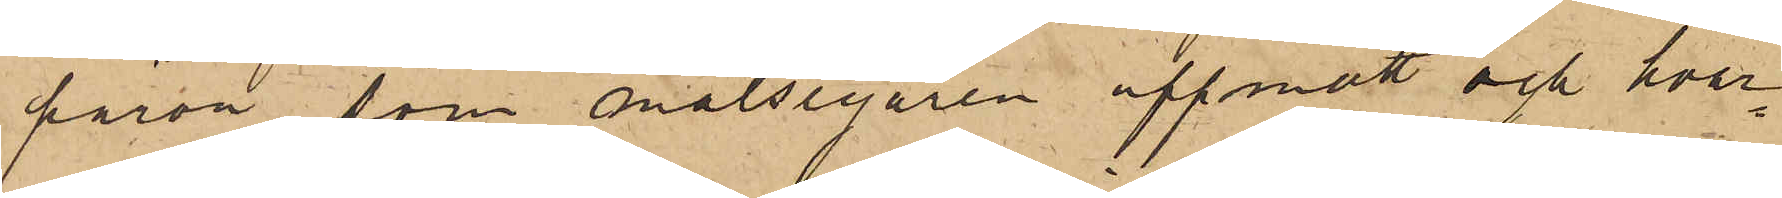päron, som målsegaren uppmätt och hvar¬
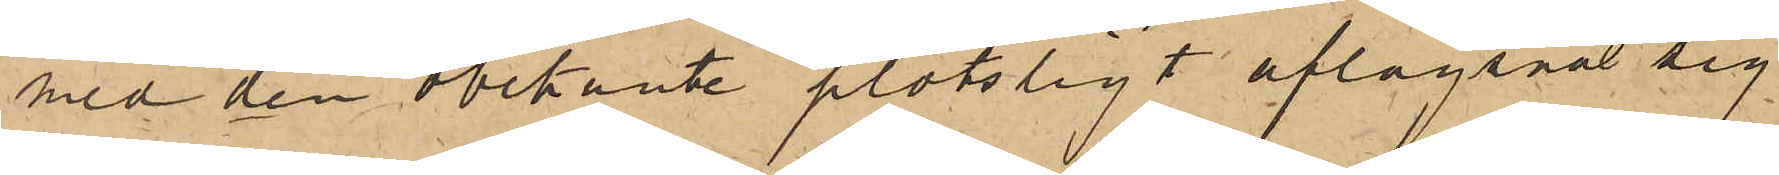med den obekante plötsligt aflägsnat sig
